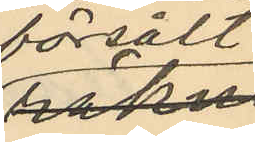försålt
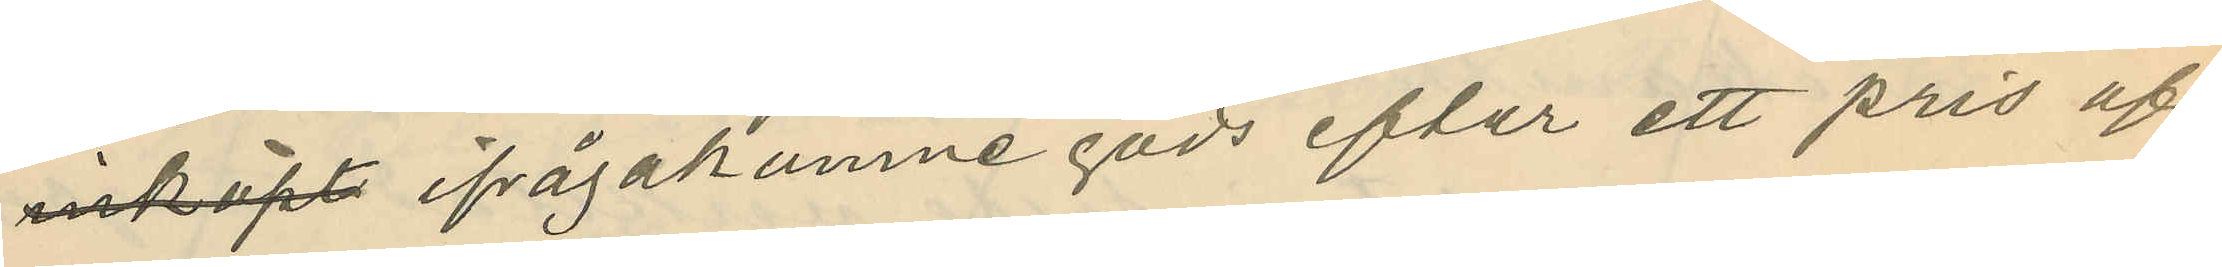inköpt ifrågakomne gods efter ett pris af
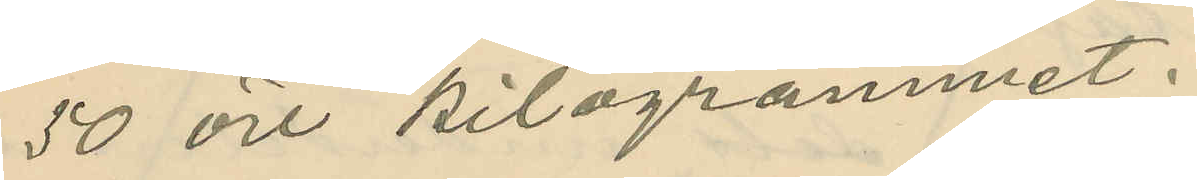50 öre kilogrammet.
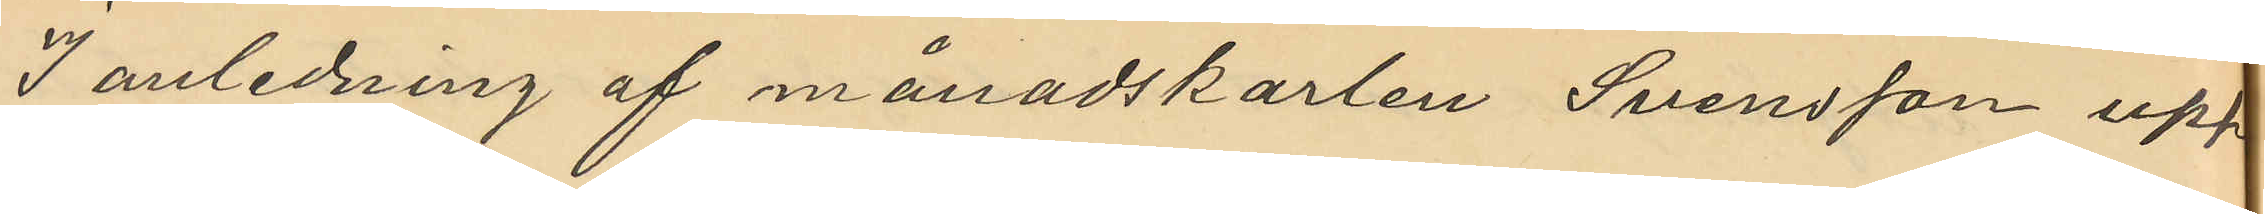I anledning af månadskarlen Svensson upp¬
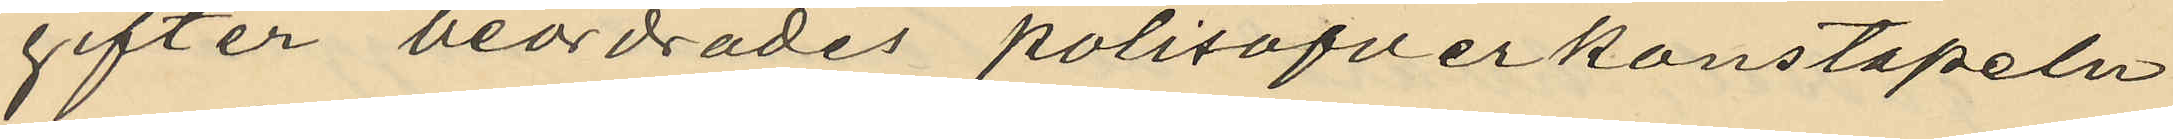gifter beordrades polisöfverkonstapeln
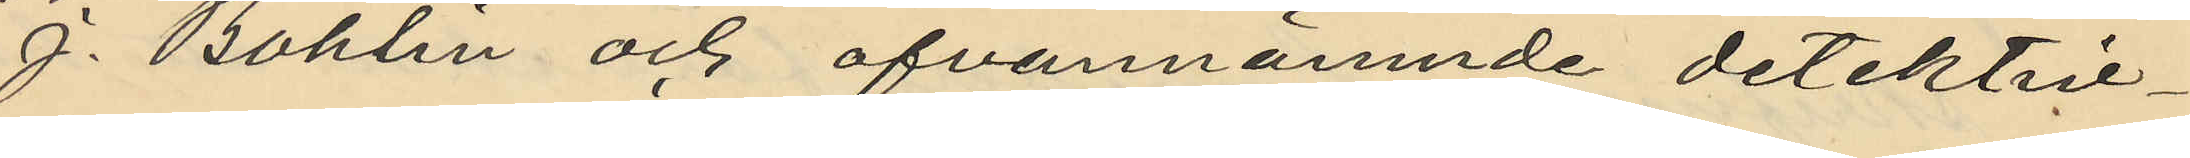J. Bohlin och ofvannämnde detektiv¬
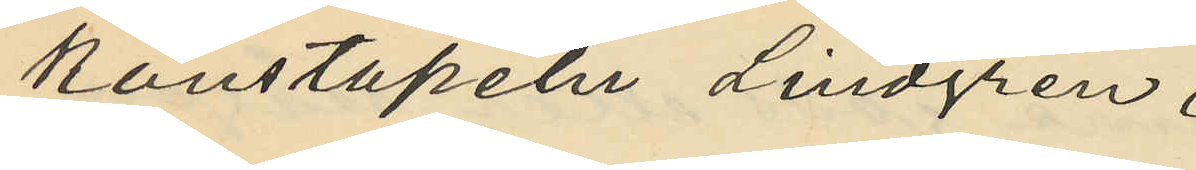konstapeln Lindgren.
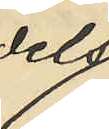dels
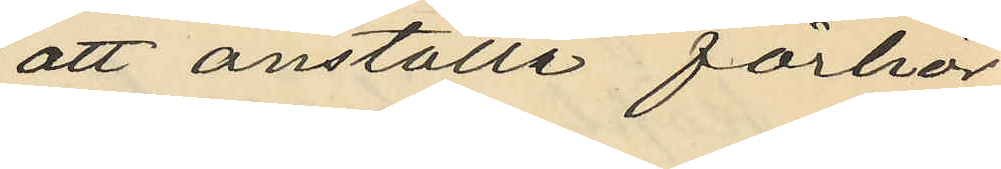att anställa förhör
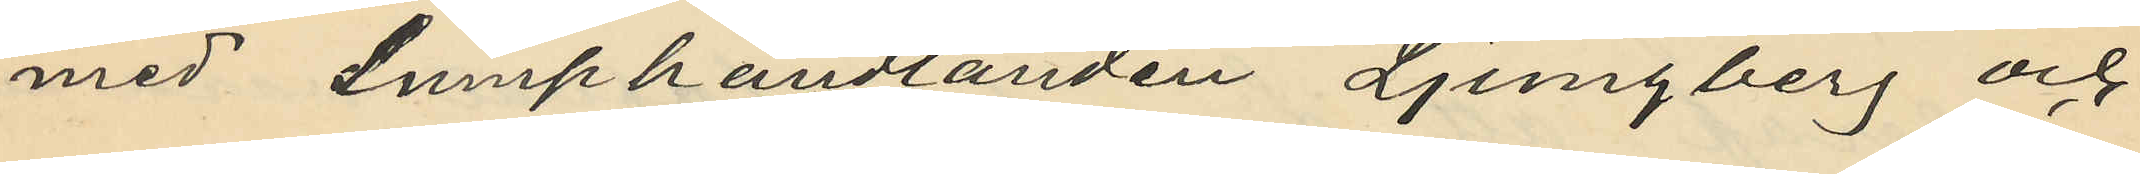med Lumphandlanden Ljungberg och
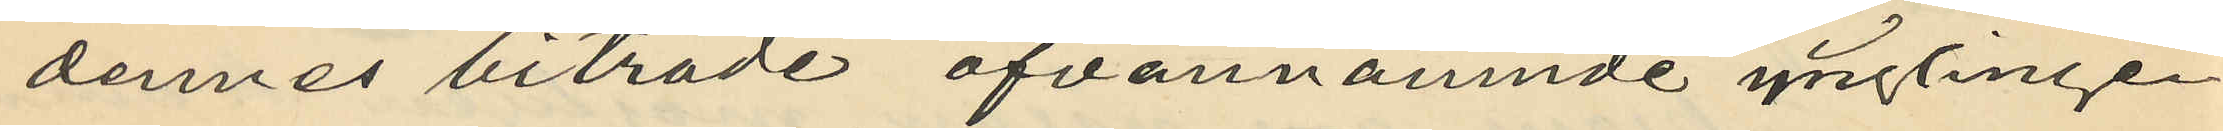dennes biträde ofvannämnde ynglingen
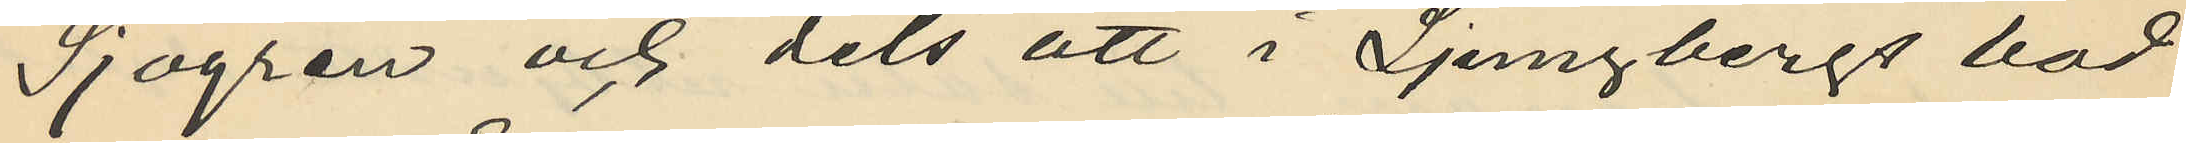Sjögren och dels att i Ljungbergs bod
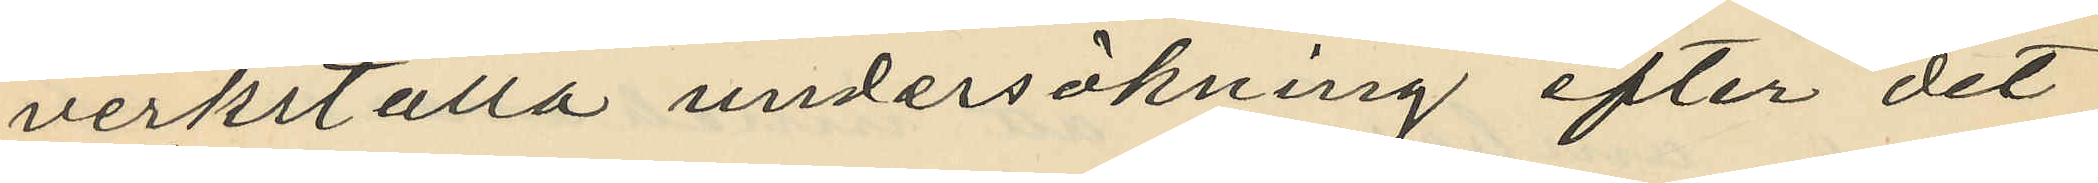verkställa undersökning efter det
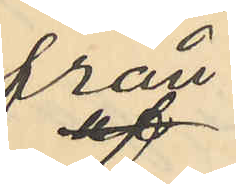från
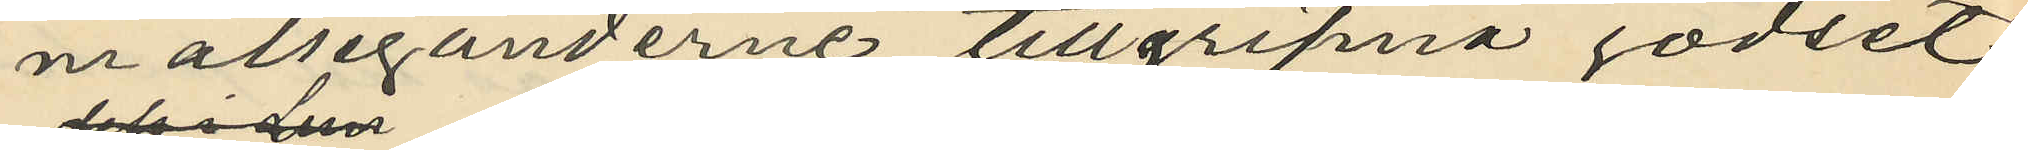målseganderne tillgripna godset.
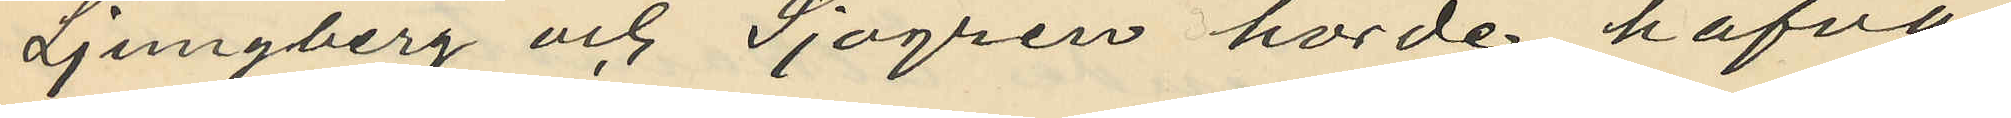Ljungberg och Sjögren hörde hafva
